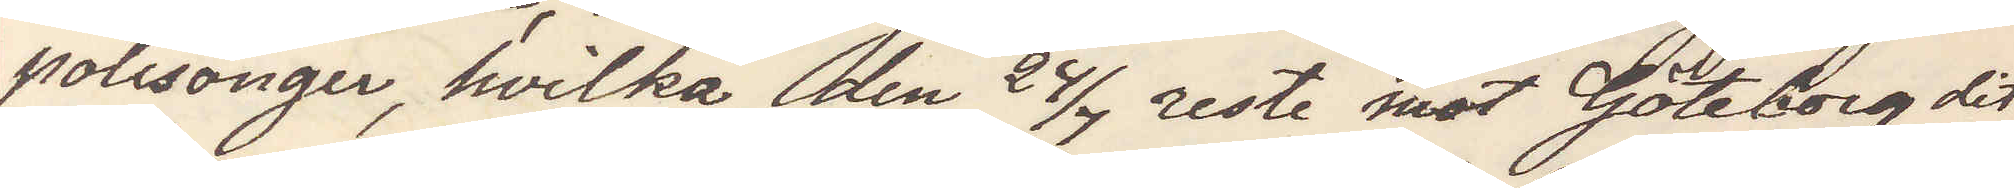polisonger, hvilka den 24/7 reste mot Göteborg dit
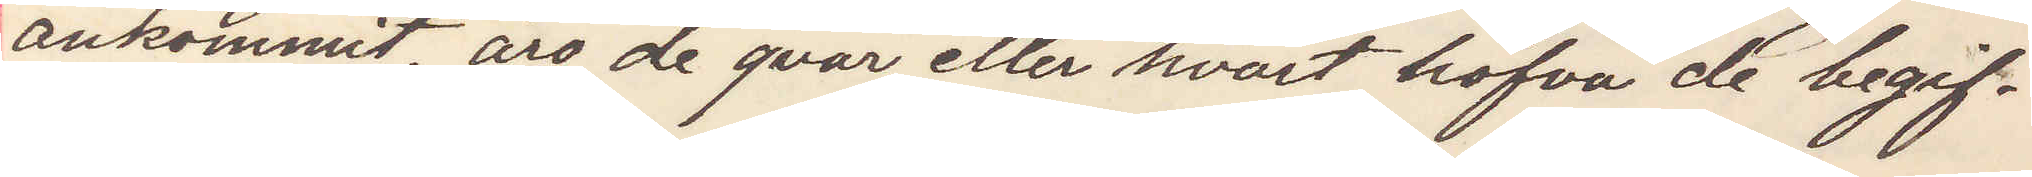ankommit, äro de qvar eller hvart hafva de begif¬
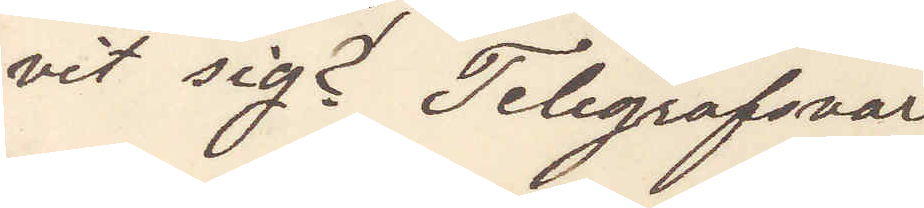vit sig? Telegrafsvar
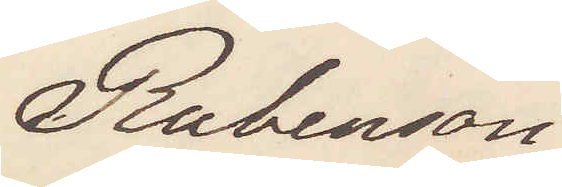Rubenson.
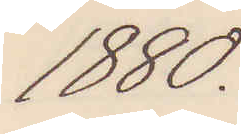1880.
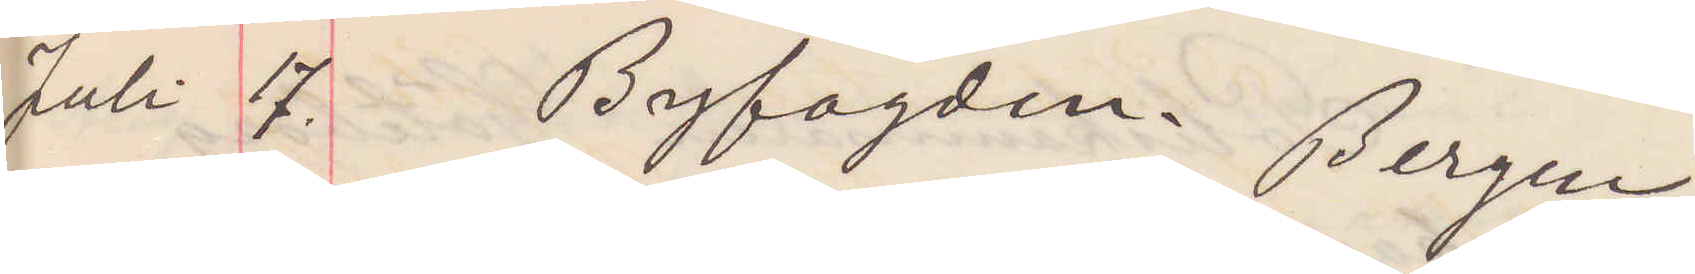Juli 17. Byfogden Bergen.
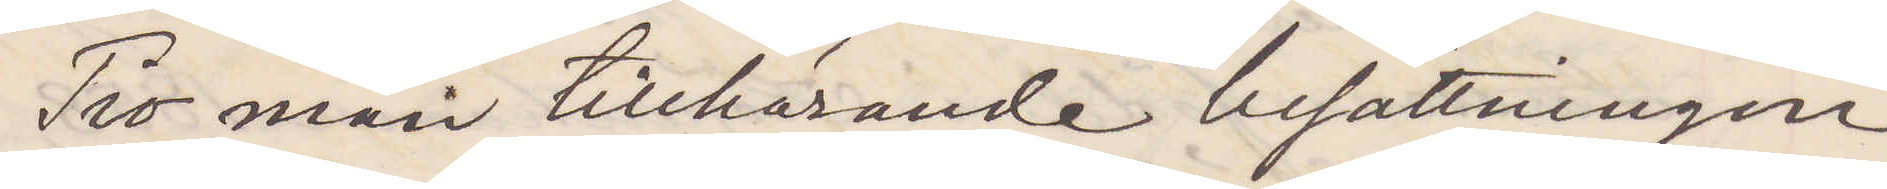Tio man, tillhörande besättningen
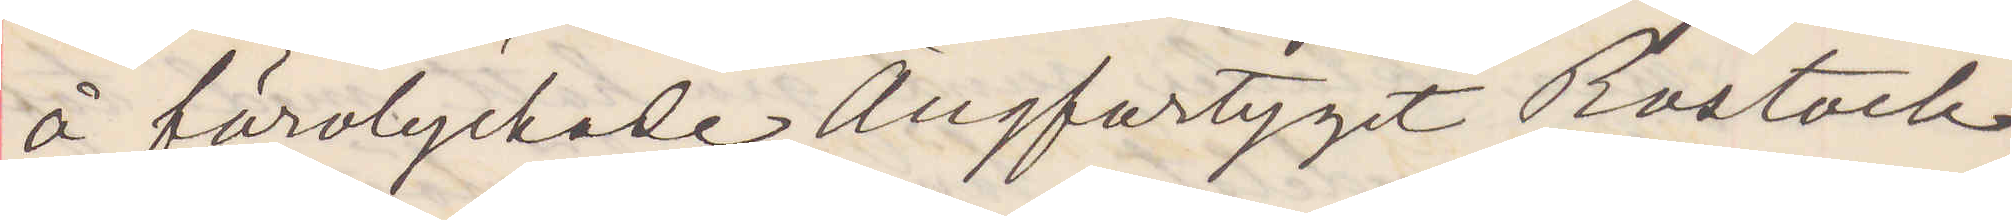å förolyckade Ångfartyget Rostock,
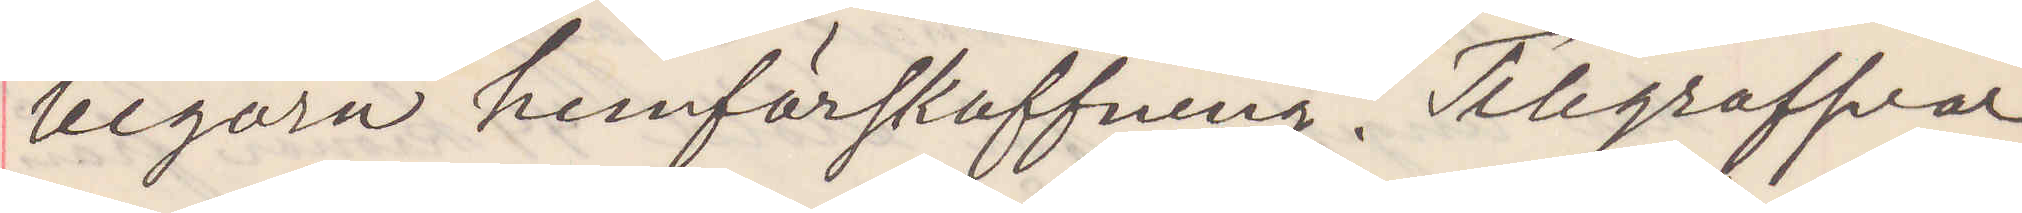begära hemförskaffning. Telegrafsvar
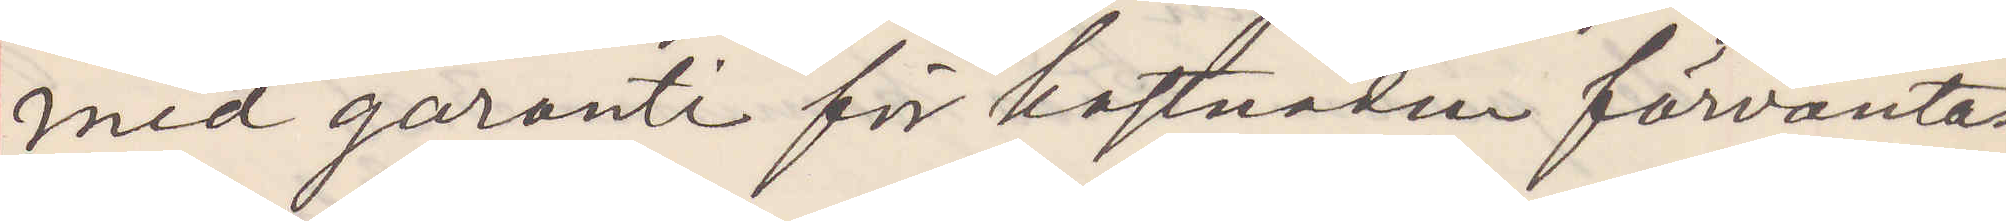med garanti för kostnaden förväntas
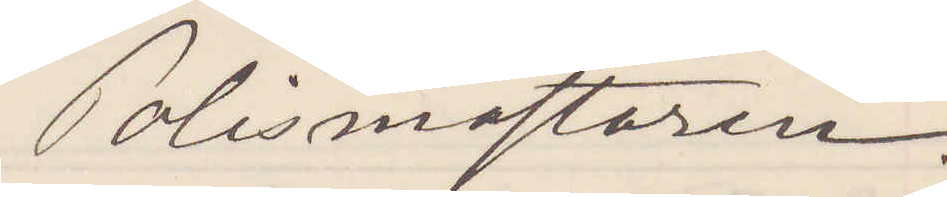Polismästaren.
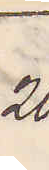20.
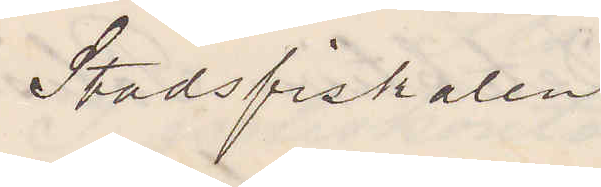Stadsfiskalen
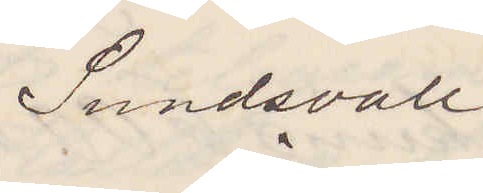Sundsvall.
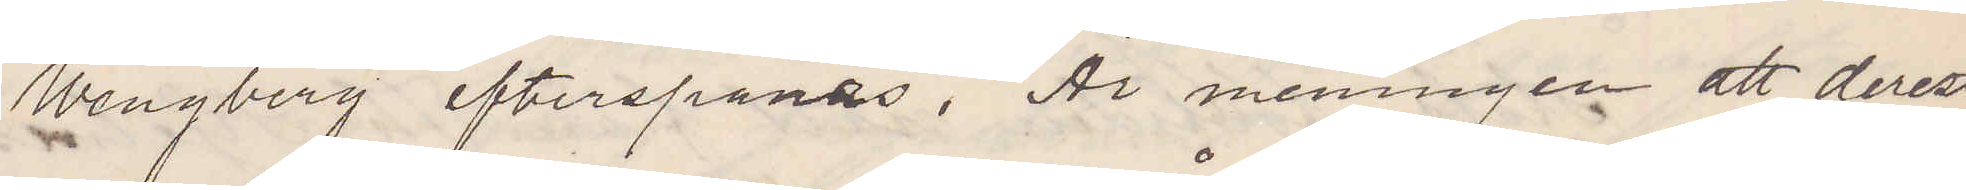Wengberg efterspanas. Är meningen att, derest
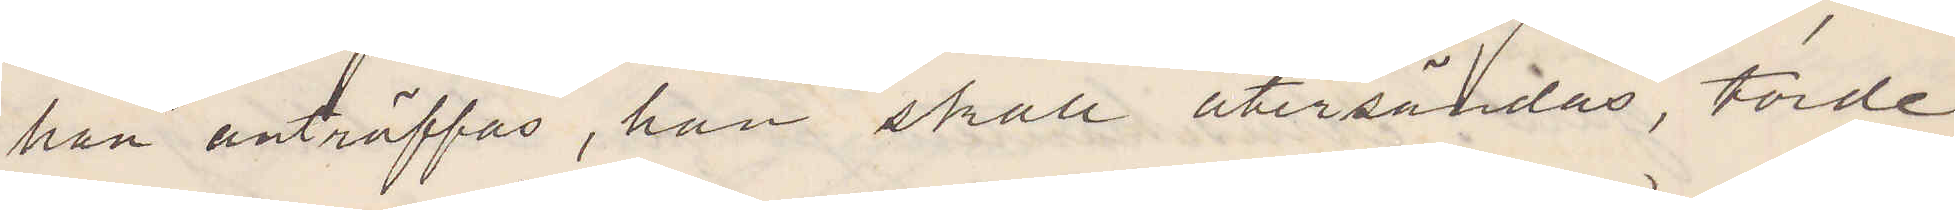han anträffas, han skall återsändas, torde
